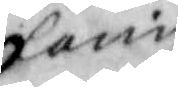Carin
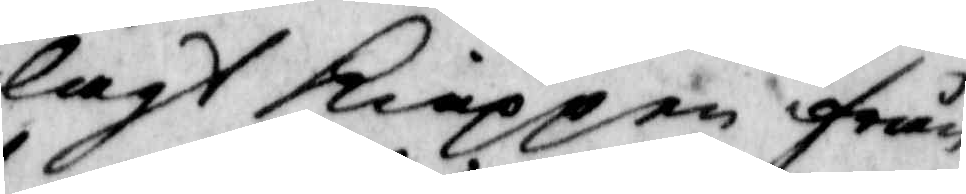lagt kiäppen från
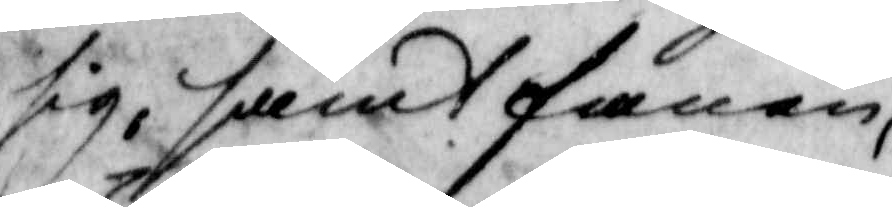sig, samt fanen
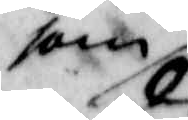som 
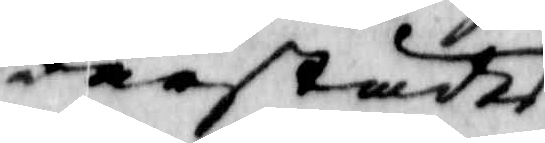därstädes
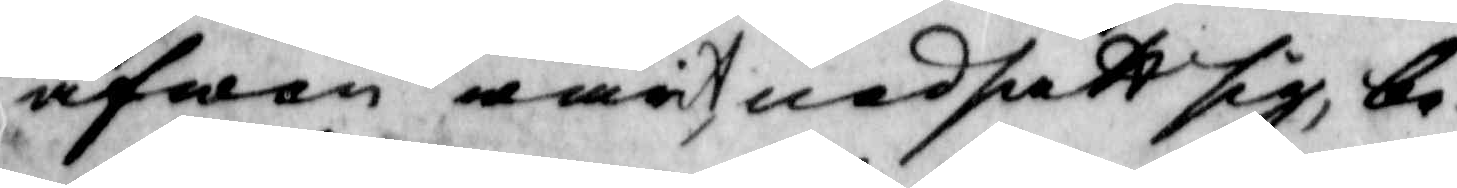äfwen warit medsatt sig, be¬
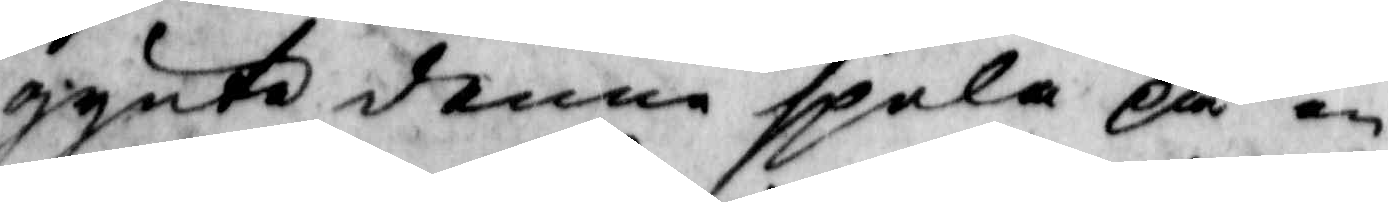gynte denne spela på en
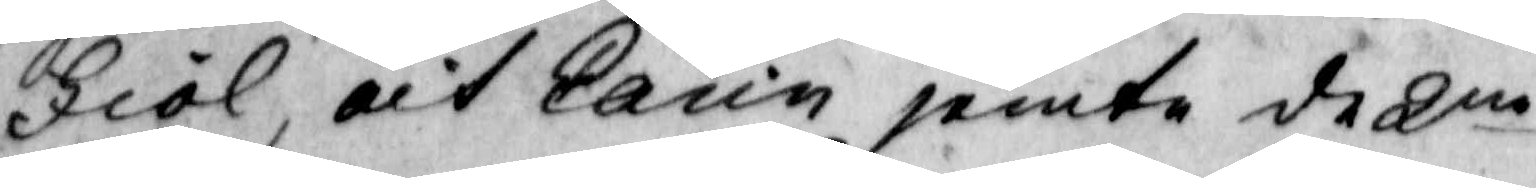Fiol, och Karin jemte de 2ne
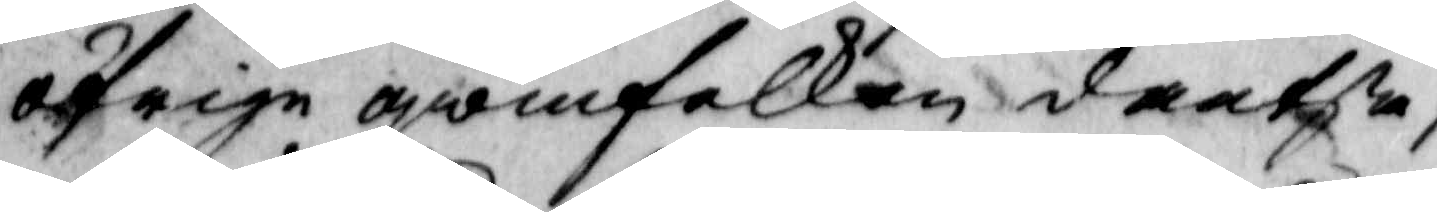öfrige qwinfolken dantsa;
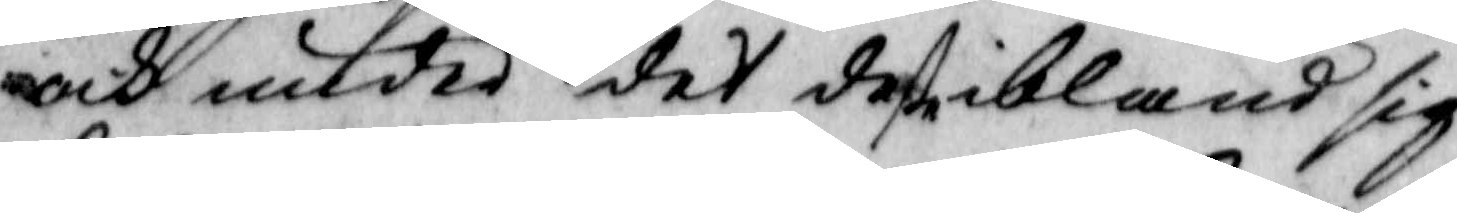och under det deße ibland sig
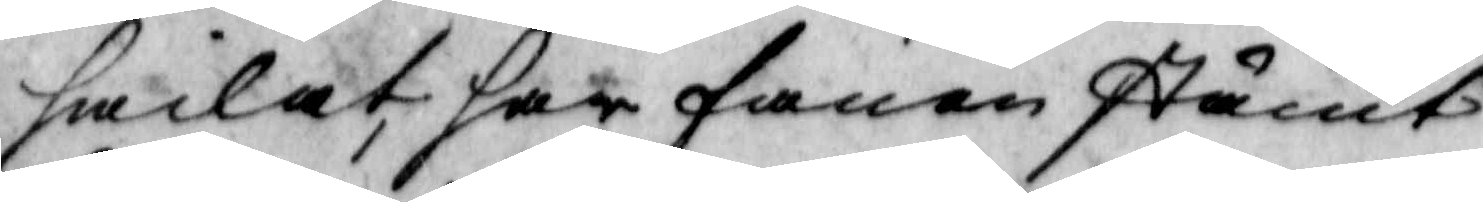hwilat, har fanen stämt
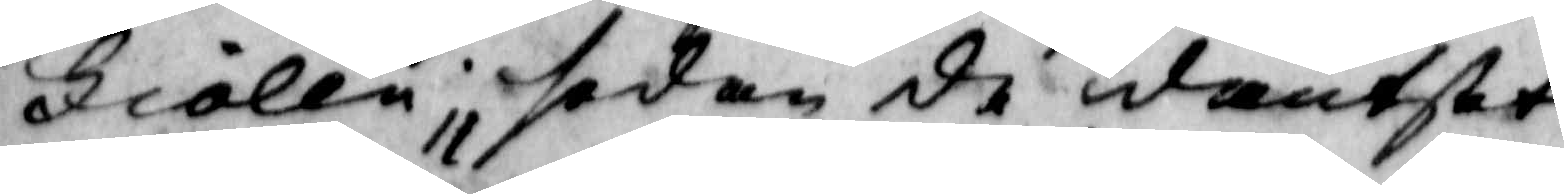Fiolen; sedan de dantsat
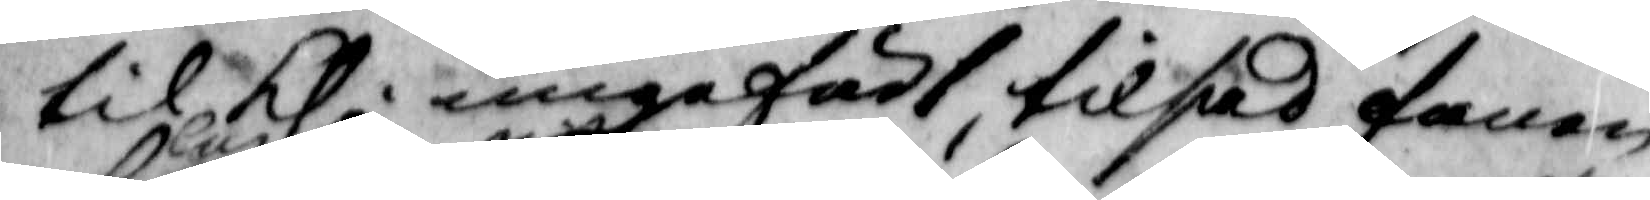til kl. ungefär 1, tilsad fanen
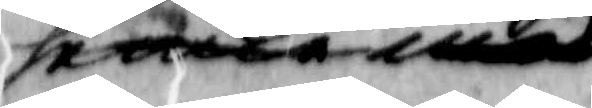hen med
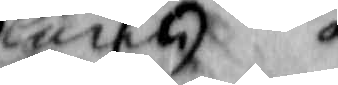lun och
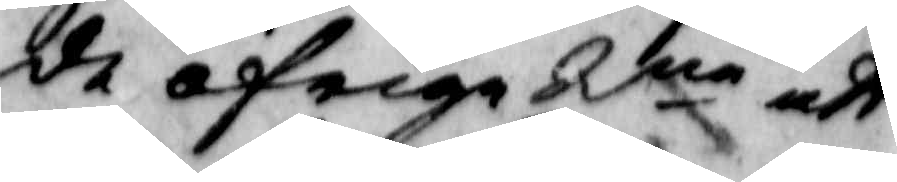de öfrige 2ne att
